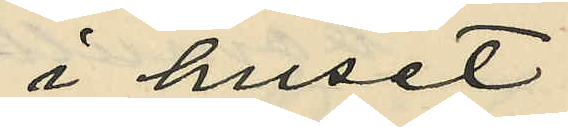i huset
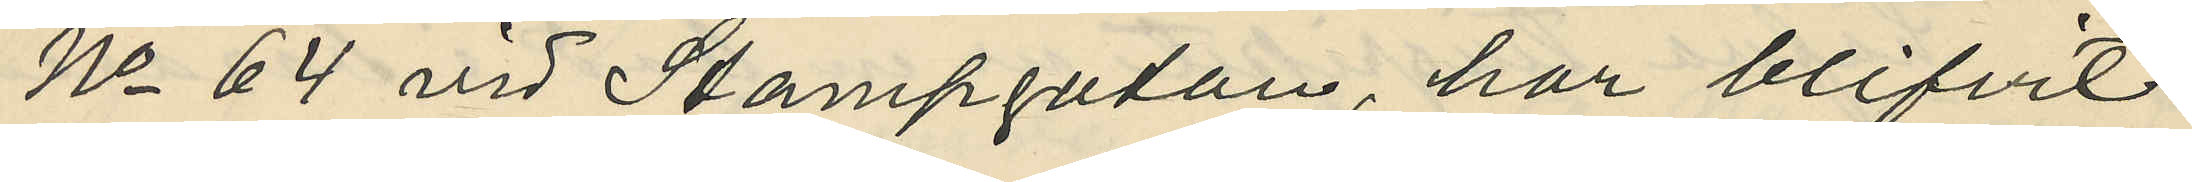No 64 vid Stampgatan, har blifvit
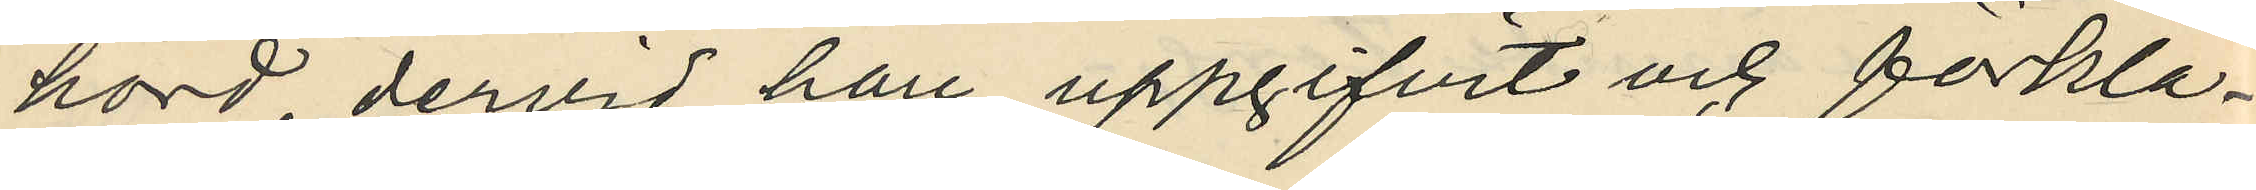hörd dervid han uppgifvit och förkla¬
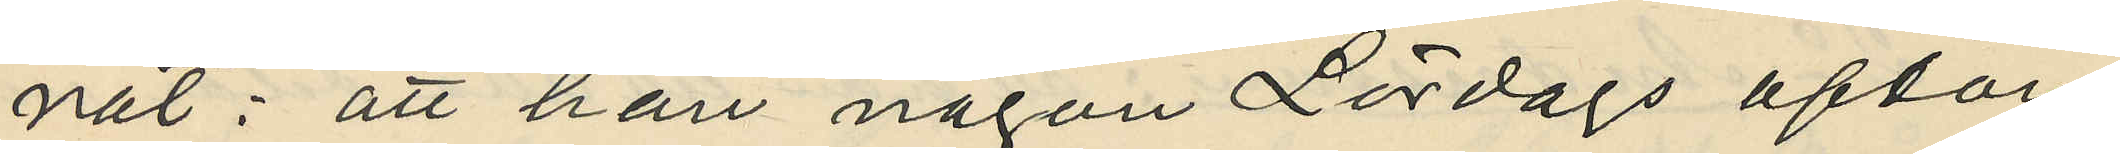nat: att han någon Lördags afton
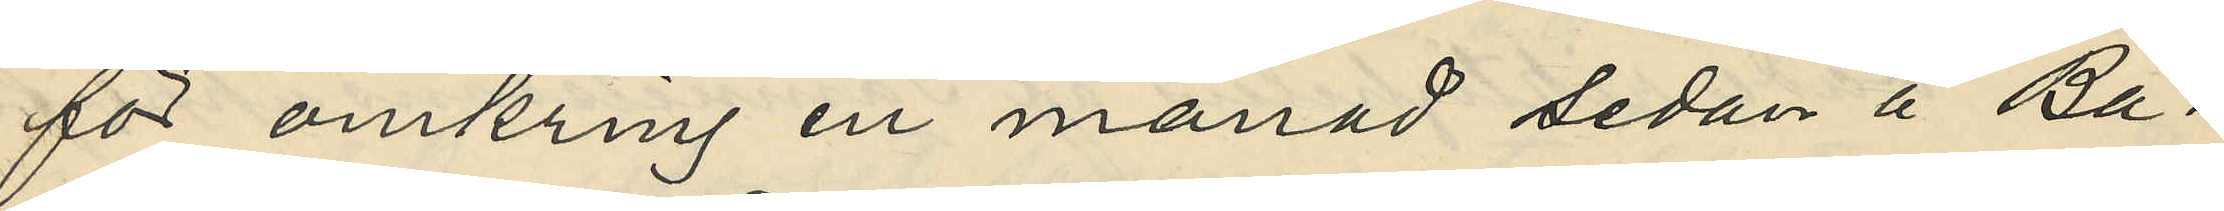för omkring en månad sedan å Ba¬
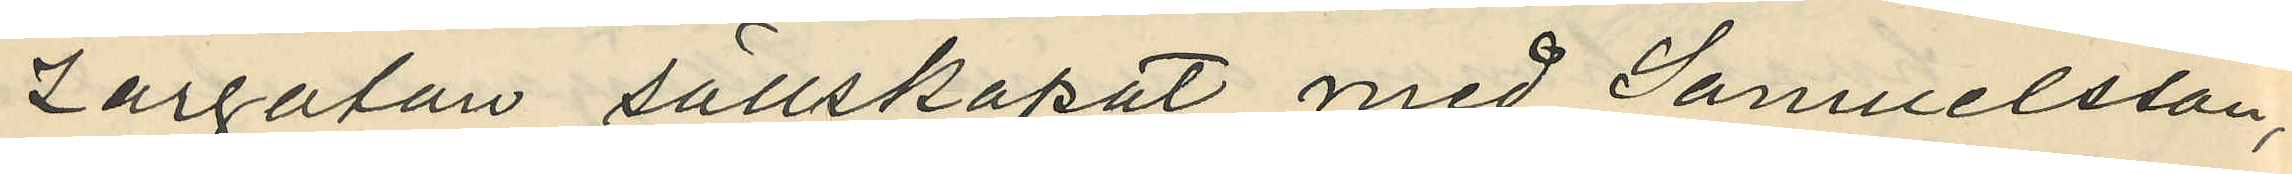zargatan sällskapat med Samuelsson,
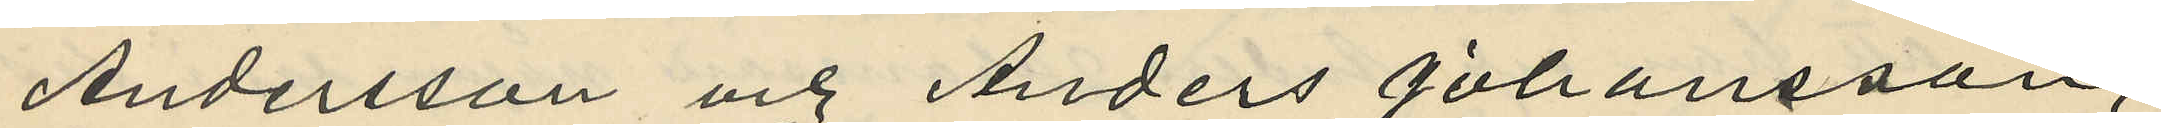Andersson och Anders Johansson,
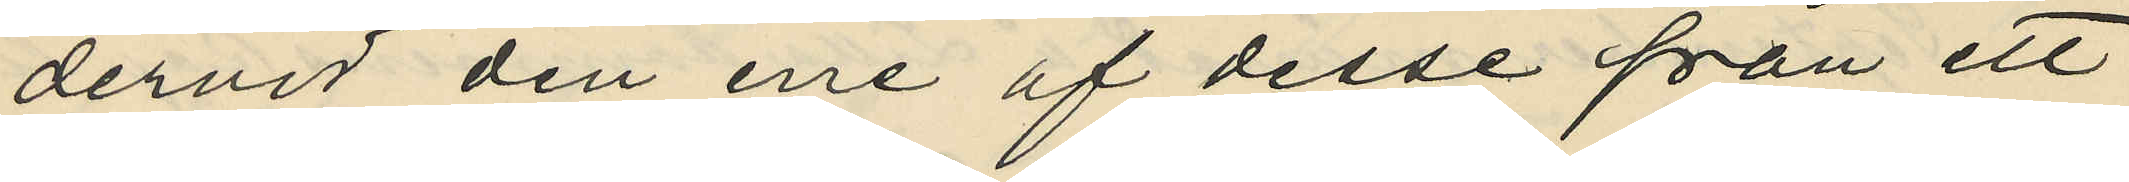dervid den ene af desse från ett
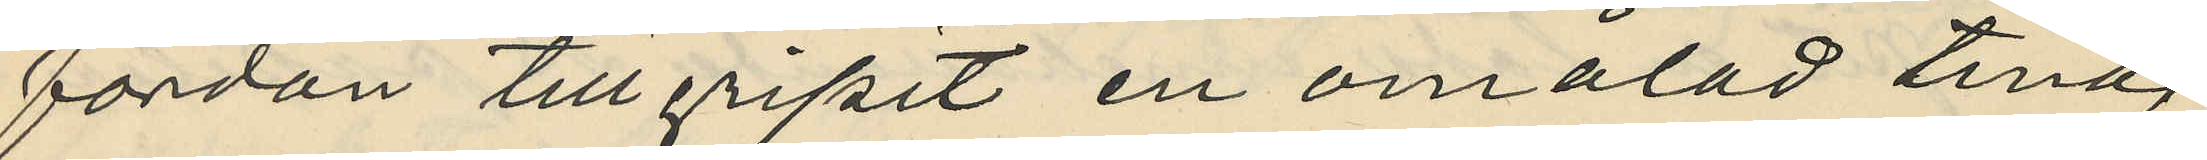fordan tillgripit en omålad tina
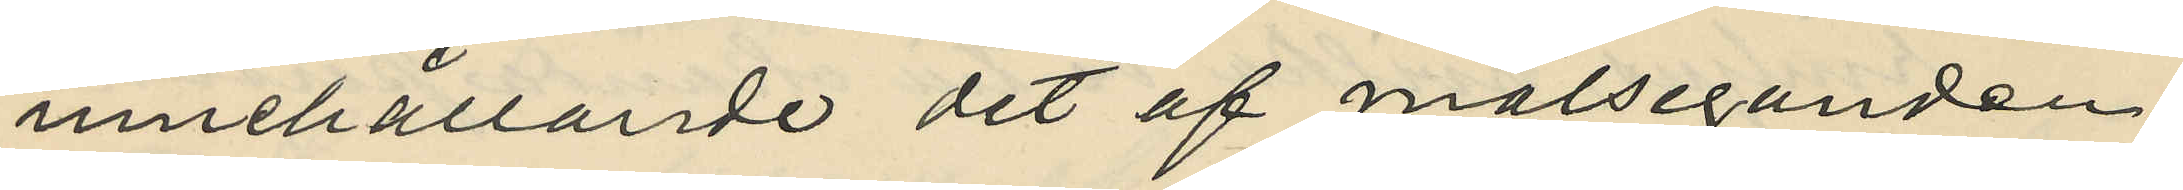innehållande det af målseganden
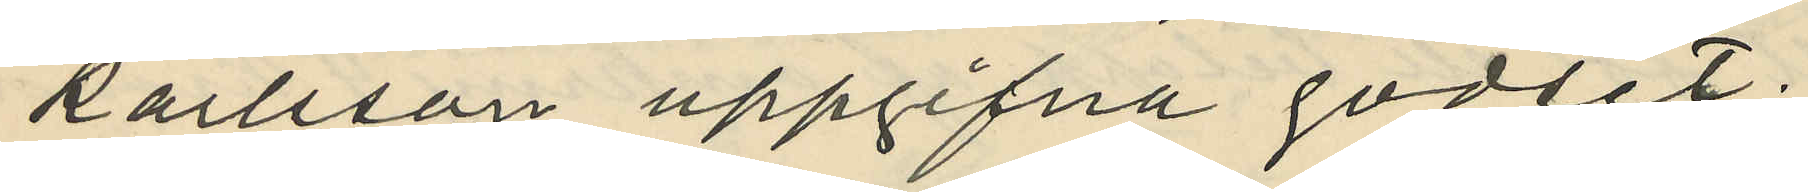Karlsson uppgifna godset.
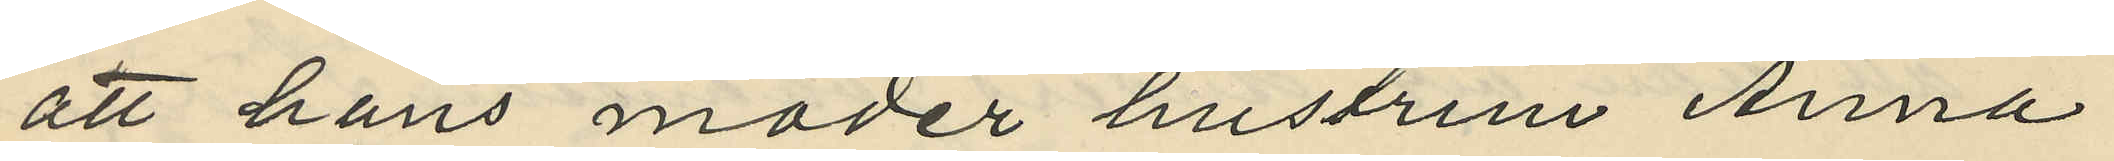att hans moder hustrun Anna
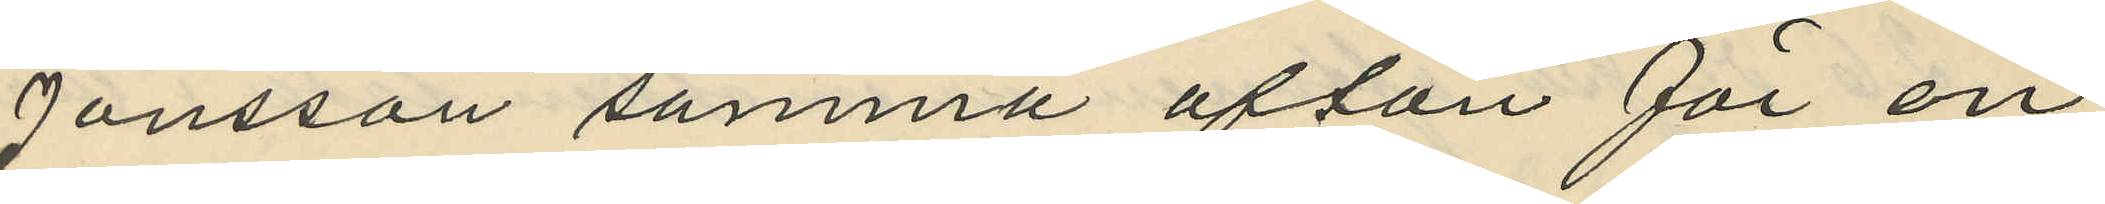Jonsson samma afton för en
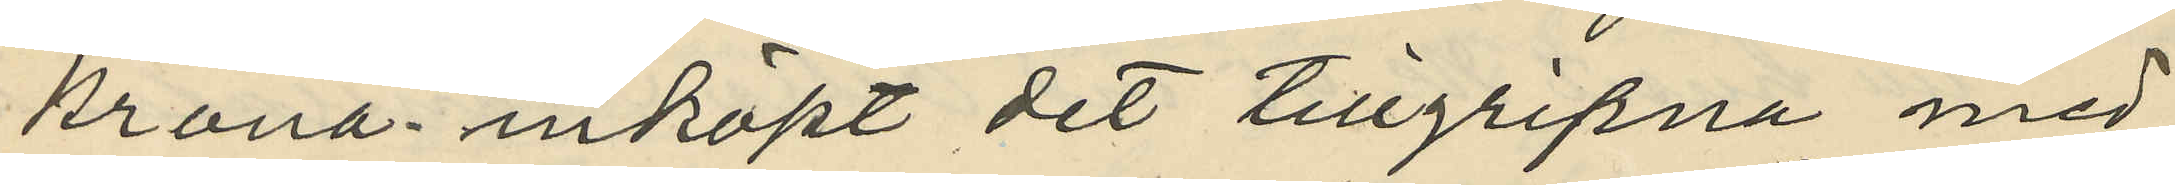krona inköpt det tillgripna med
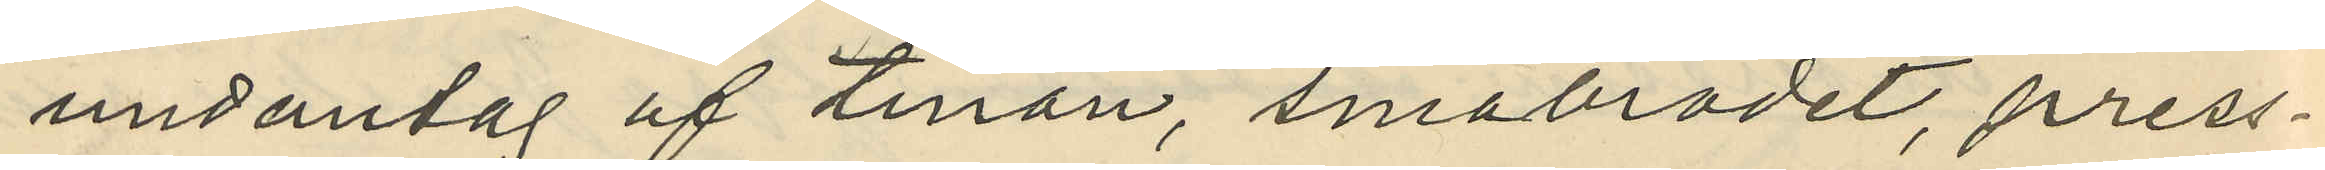undantag af tinan, småbrödet, press¬
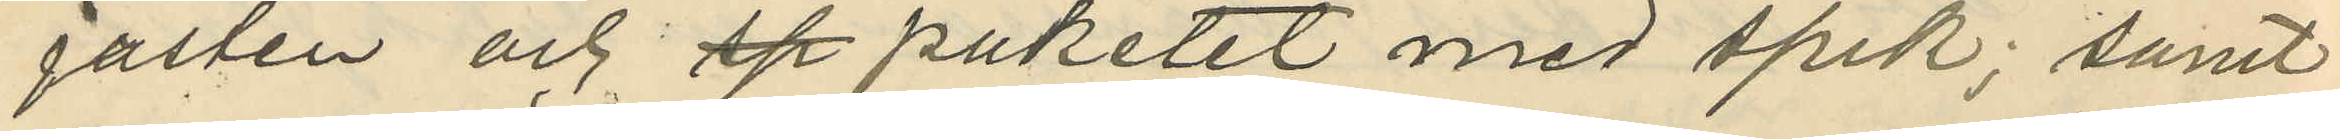jästen och paketet med spik; samt
